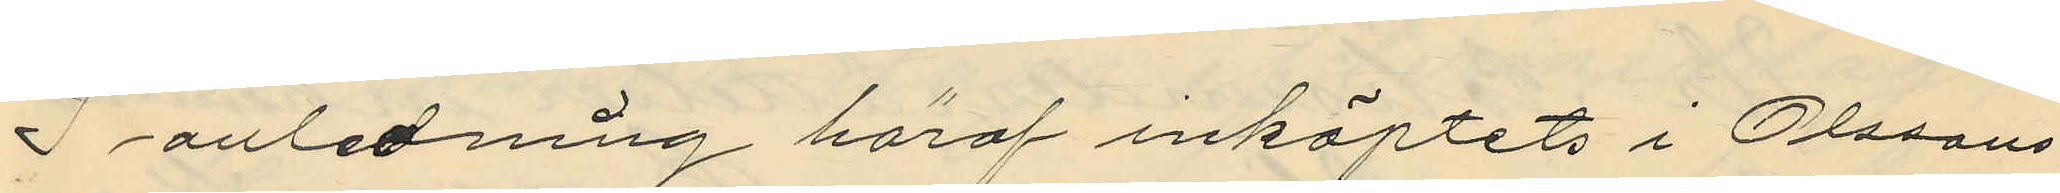I anledning häraf inköptets i Olssons
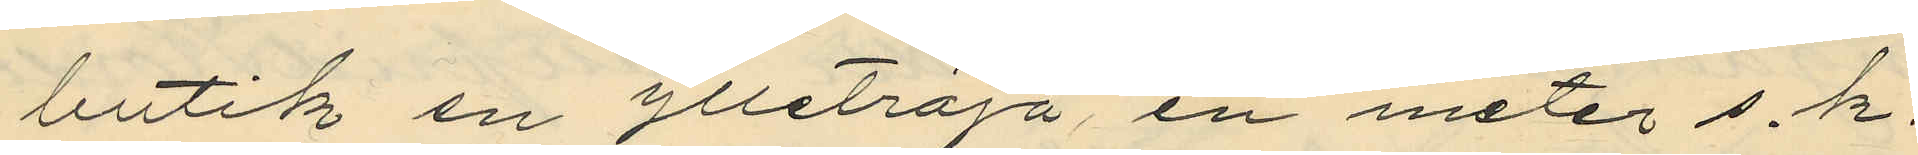butik en ylletröja, en meter s.k.
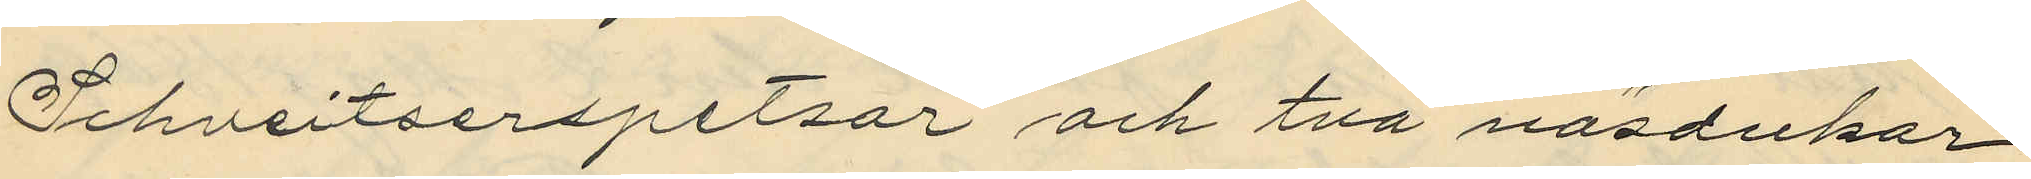Schveitserspetsar och två näsdukar
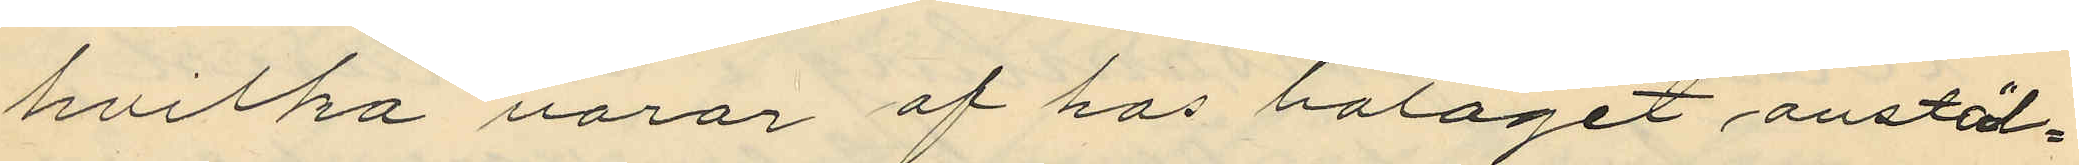hvilka varor af hos bolaget anstäl¬
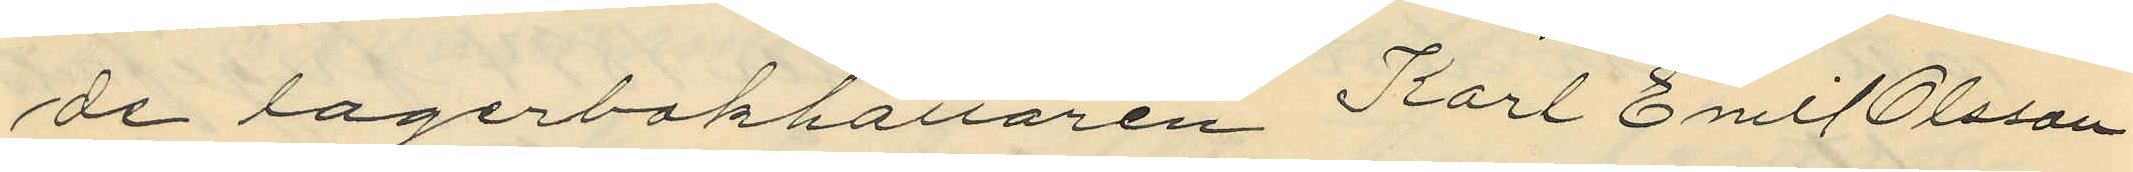de lagerbokhållaren Karl Emil Olsson
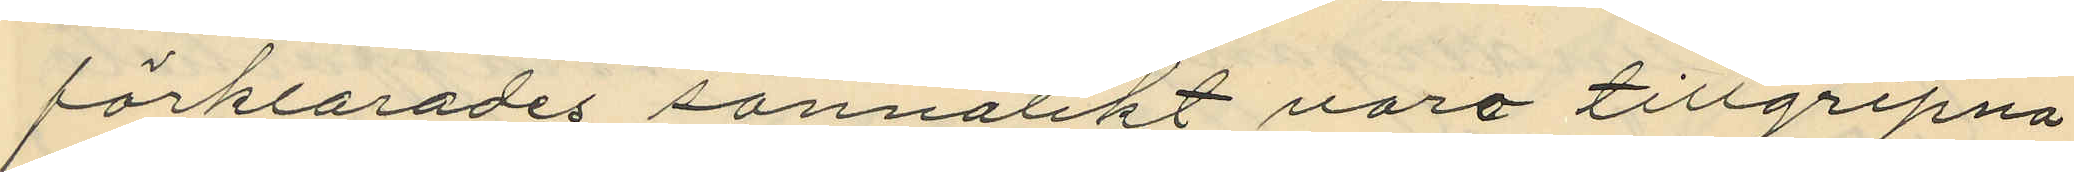förklarades sannolikt voro tillgripna
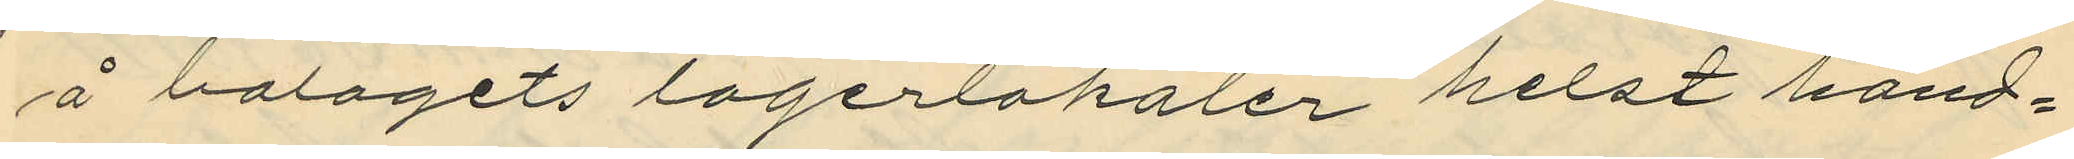å bolagets lagerlokaler helst hand¬
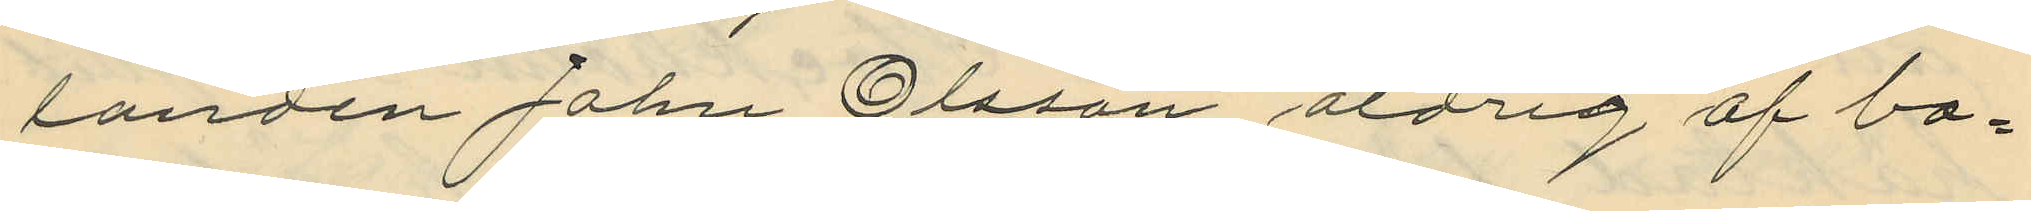landen John Olsson aldrig af bo¬
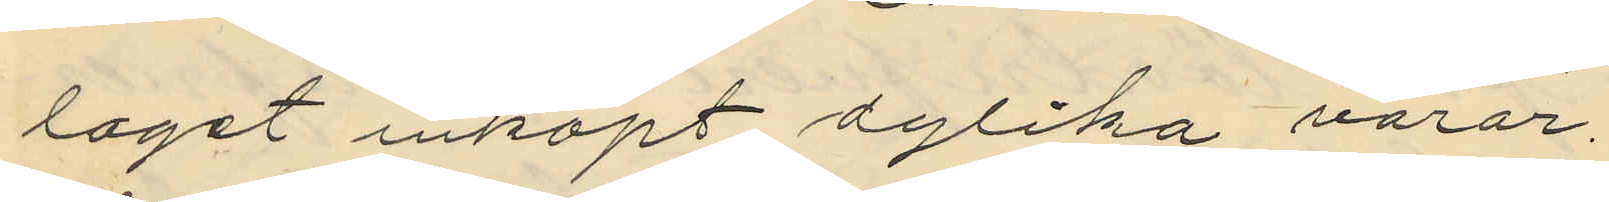taget inköpt dylika varor,
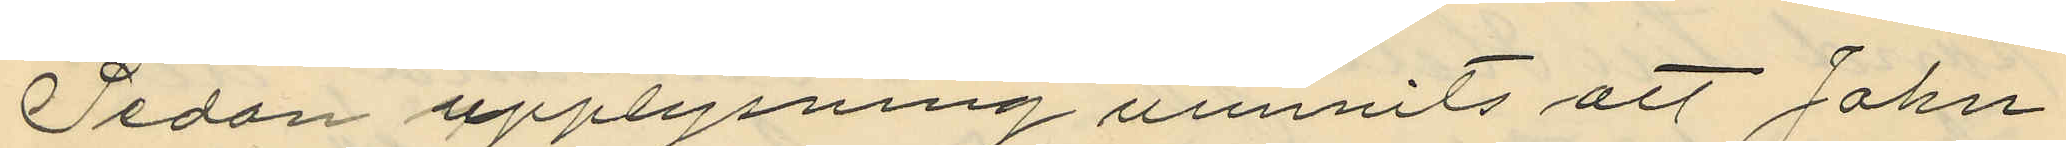Sedan upplysning vunnits att John
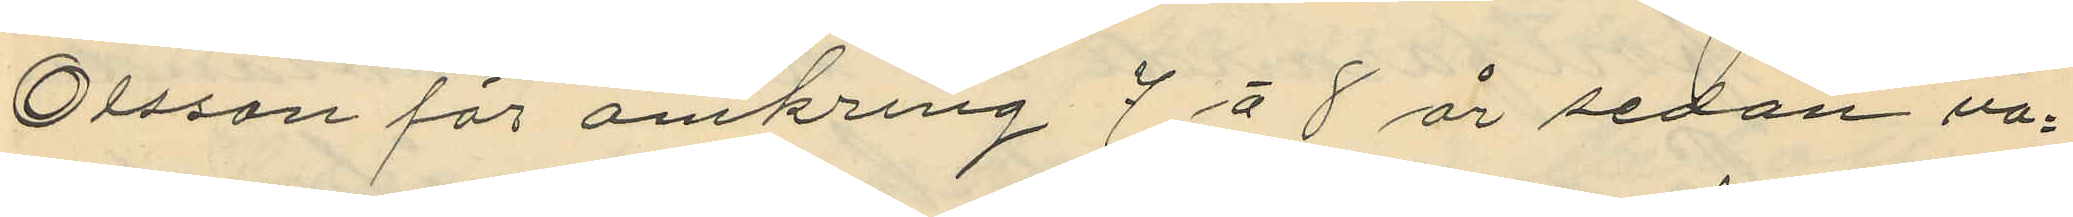Olsson för omkring 7 á 8 år sedan va¬
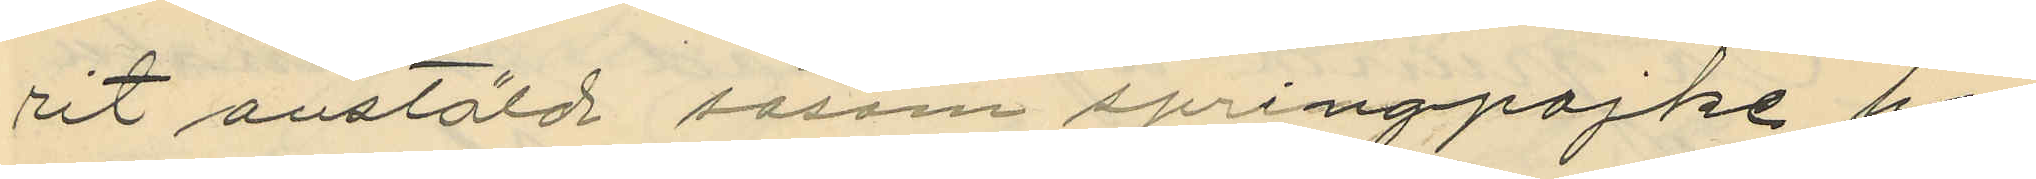rit anstäld såsom springpojke hos
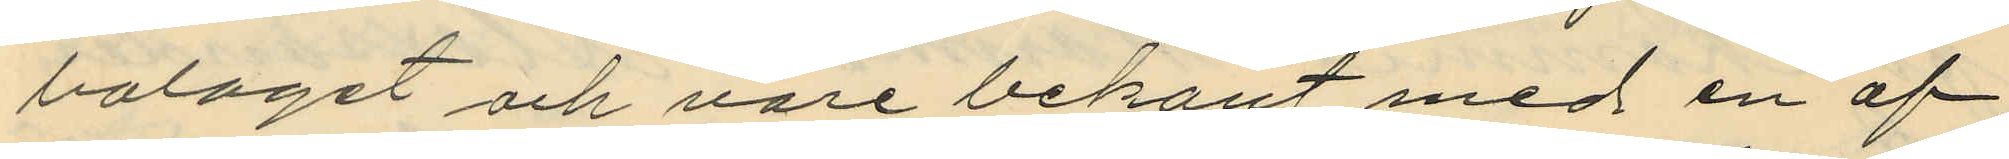bolaget och vore bekant med en af
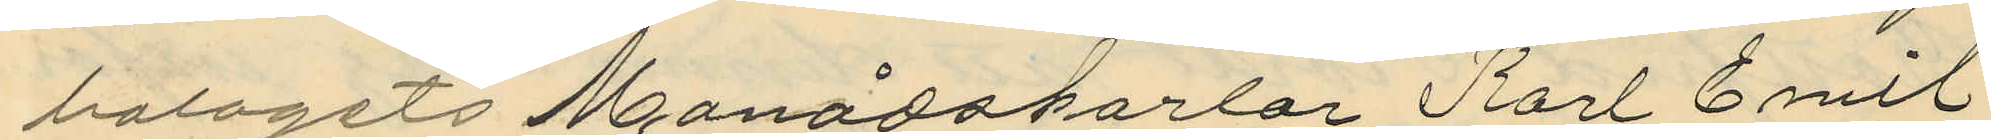bolagets Månadskarlar Karl Emil
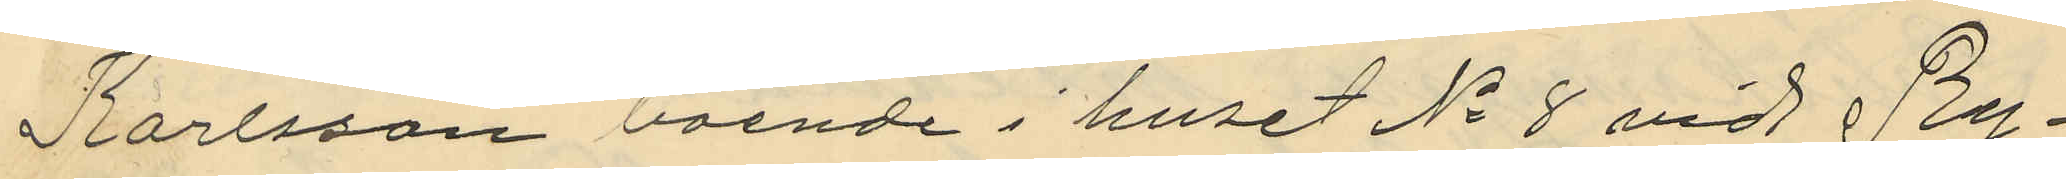Karlsson boende i huset No 8 vid Ry¬
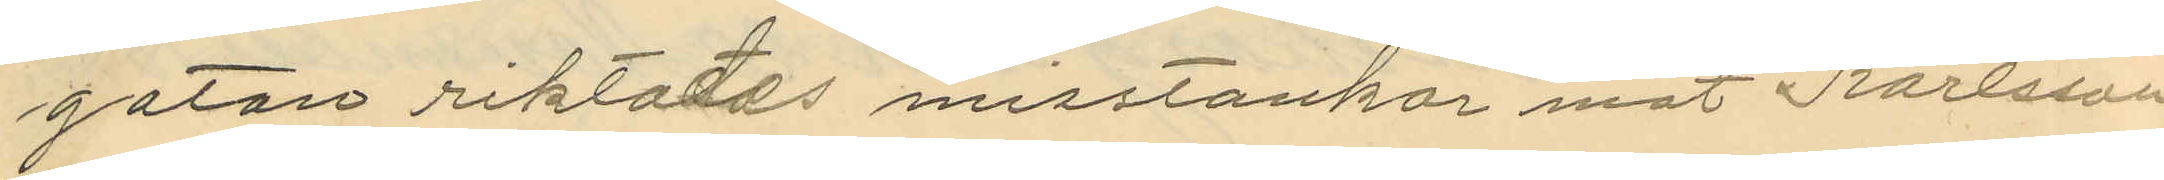gatan riktades misstankar mot Karlsson
